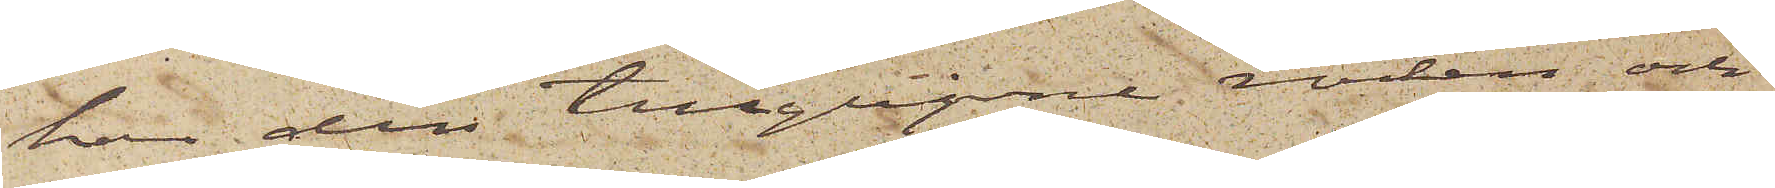har den tillgripne rocken och
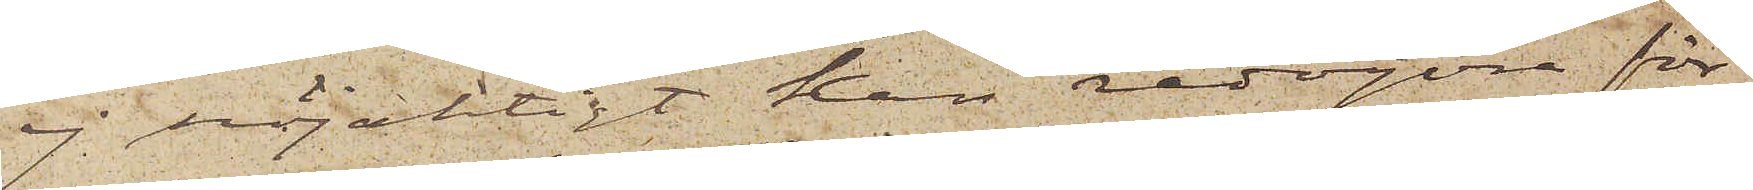ej nöjaktigt kan redogöra för
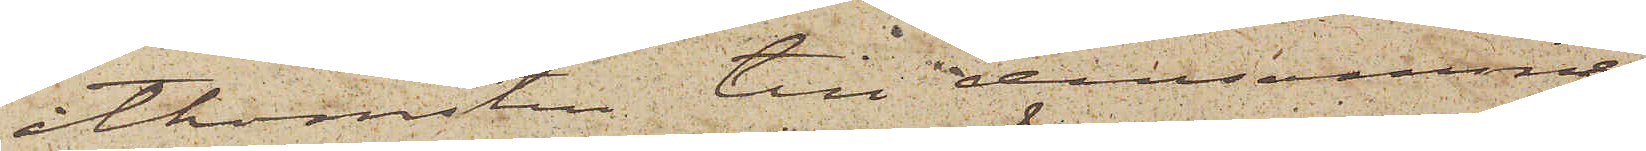åtkomsten till densamma,
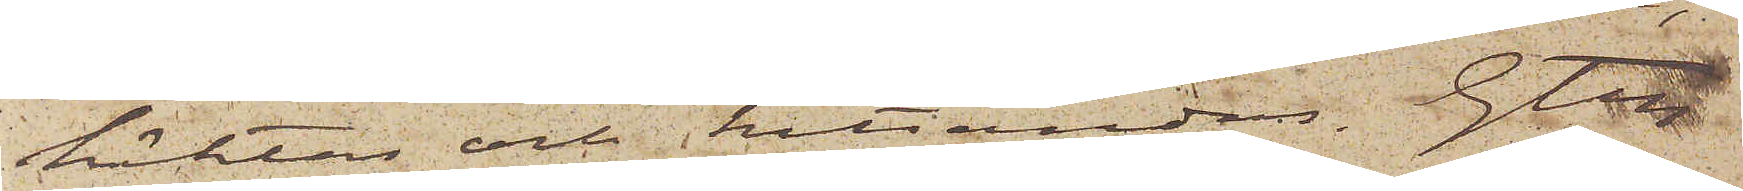häktas och hitsändas. Gtbg
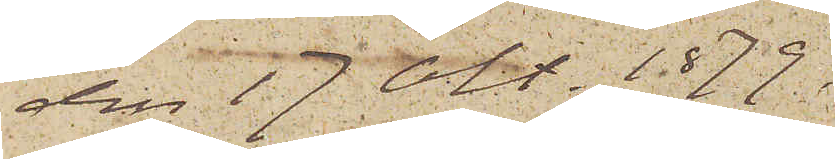den 17 Okt. 1879.
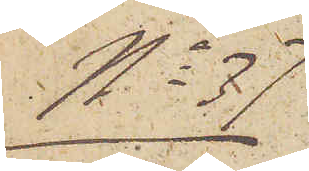No 37
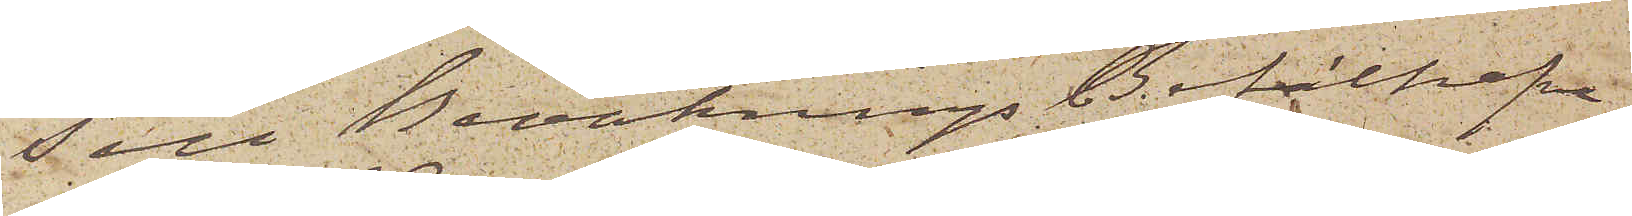Till Bevaknings Befälhafva¬
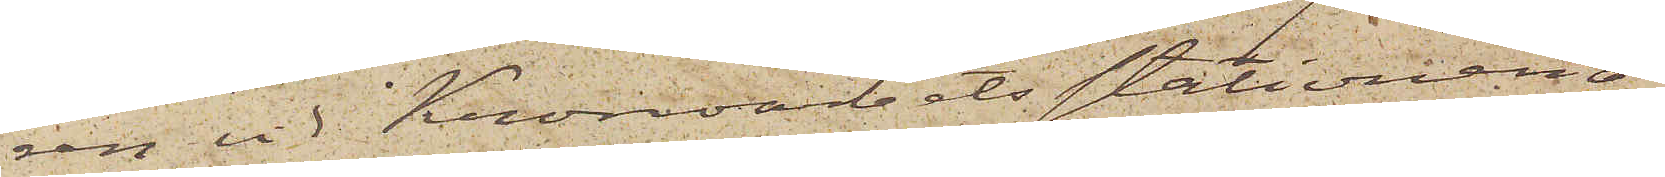ren vid Kronoarbetsstationen å
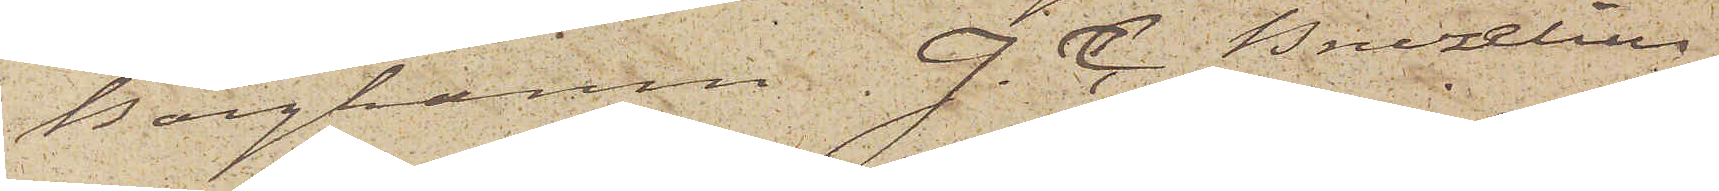Borghamn J. C. Bruzelius
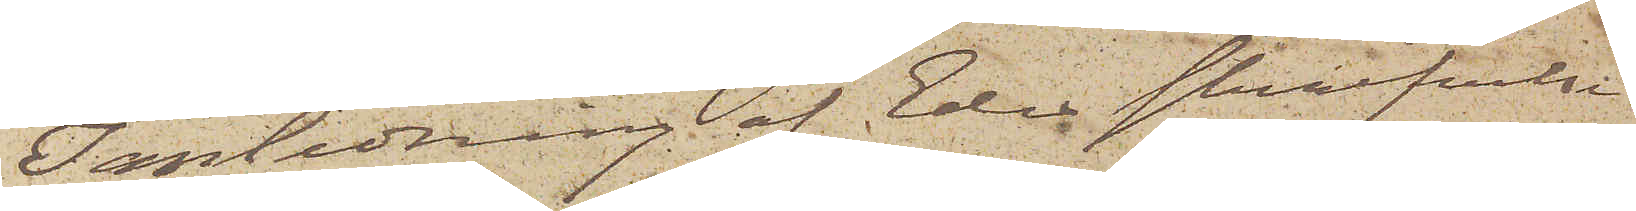I anledning af Eder skrifvelse
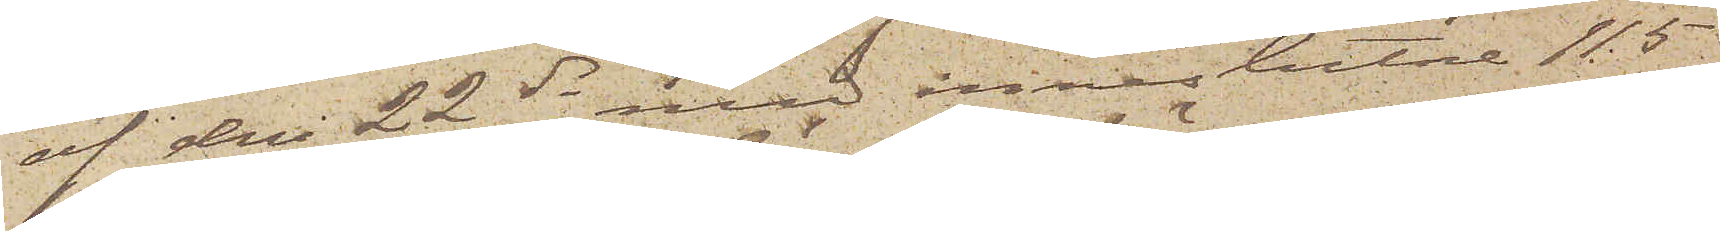af den 22 ds med inneslutne 115
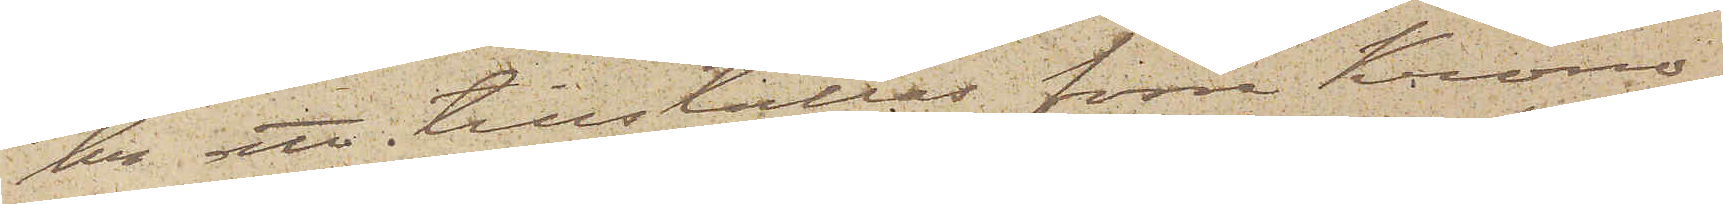kr att tillställas förre Krono¬
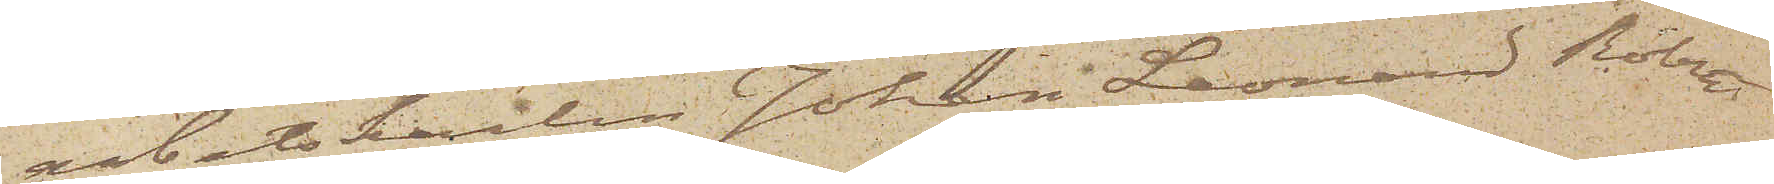arbetskarlen Johan Leonard Robert
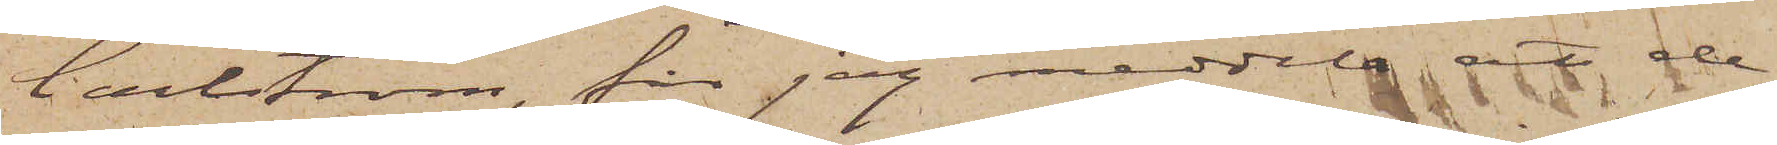Carlström, får jag meddela att de
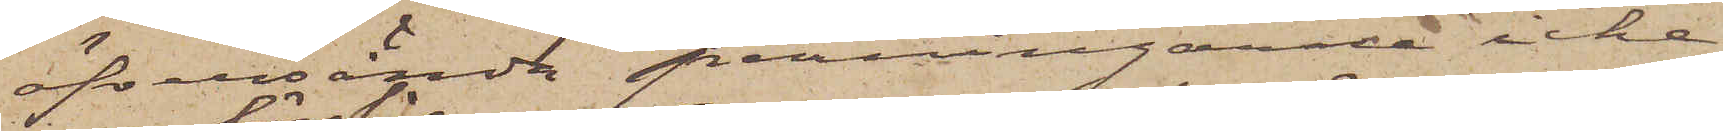öfversände penningarne icke
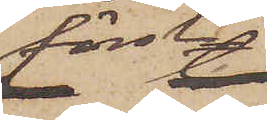förslår
